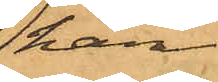han
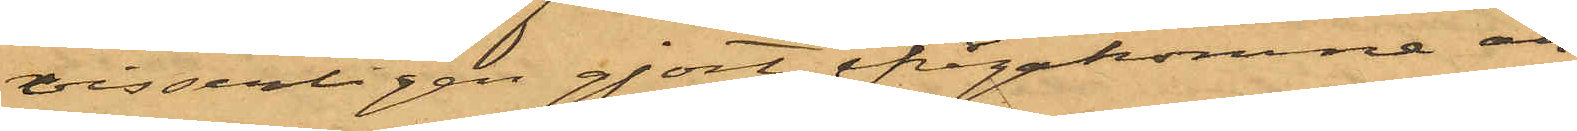visserligen gjort ifrågakomne an¬
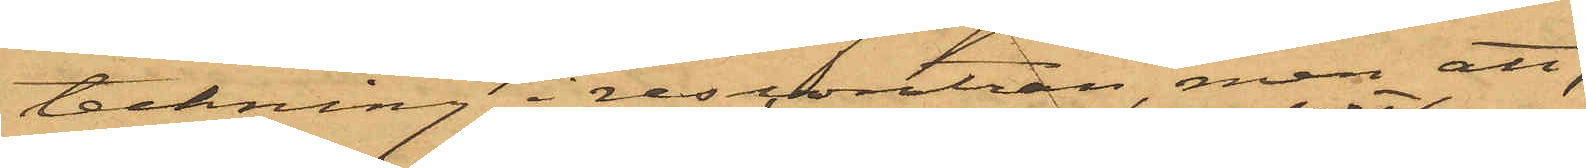teckning i rescontran, men att,
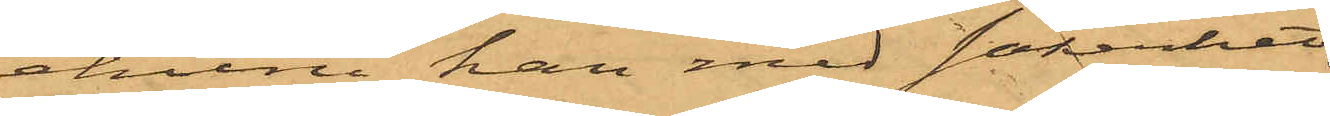ehuru han med säkerhet
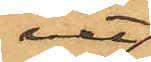vet
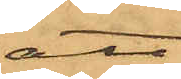att
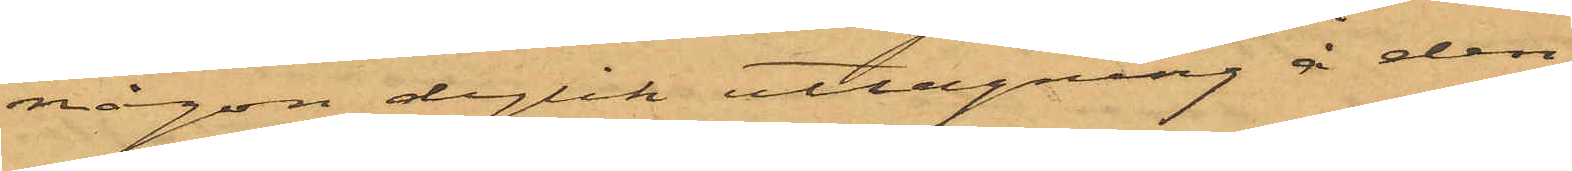någon dylik uttagning å den¬
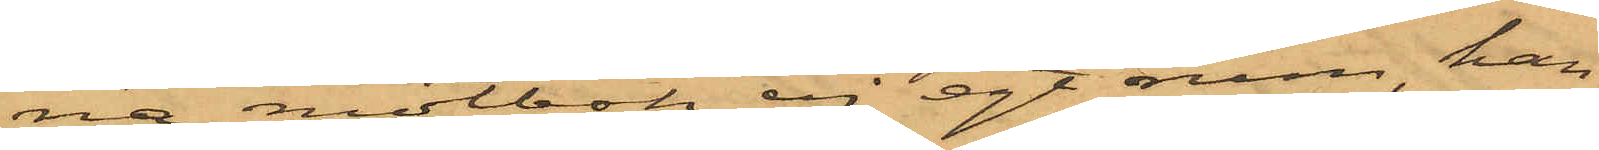na motbok ej egt rum, han
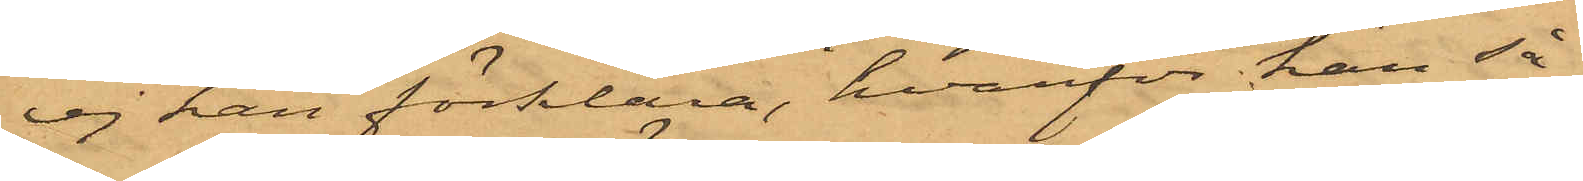ej han förklara, hvarför han så¬
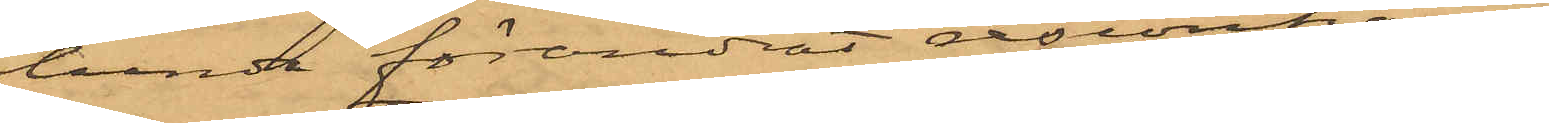lunda förändrat rescontran,
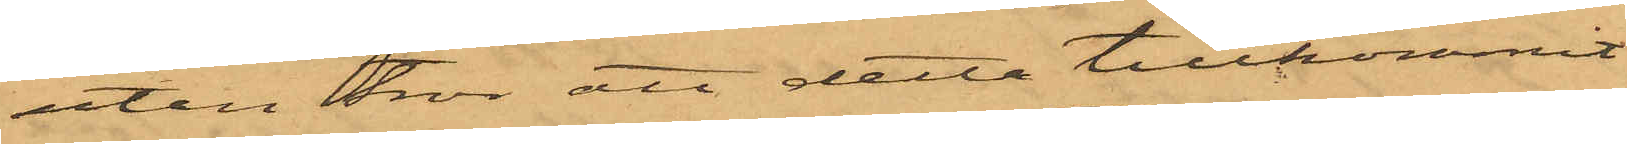utan tror att detta tillkommit
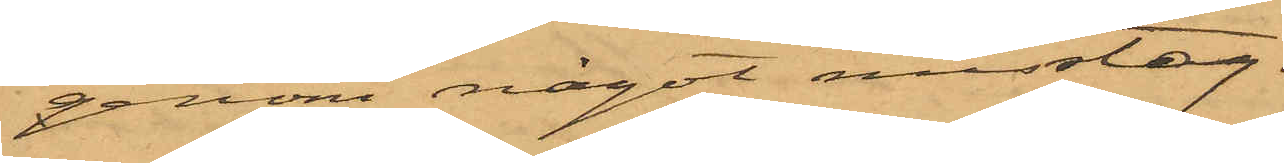genom något misstag.
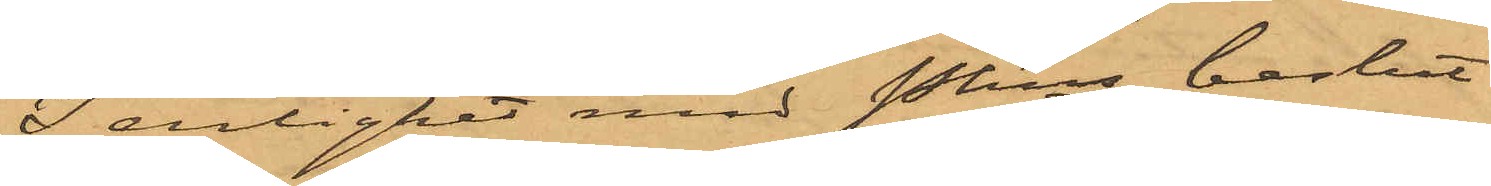I enlighet med Pkns beslut
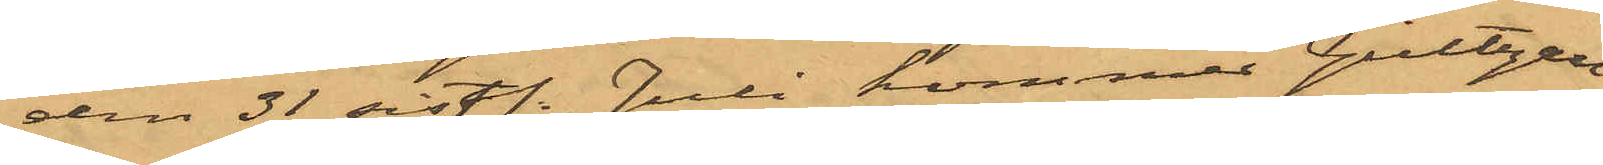den 31 sist. Juli kommer Gültzau,
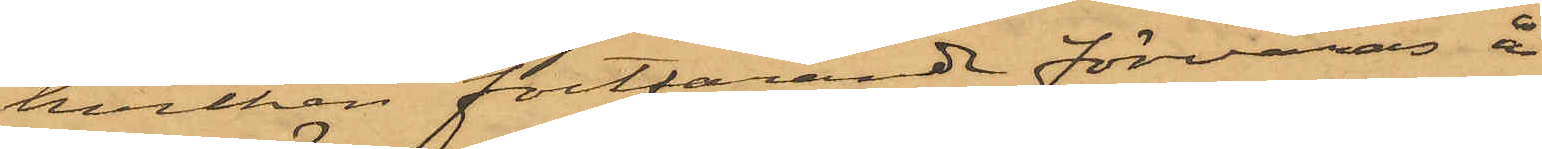hvilken fortfarande förvaras å
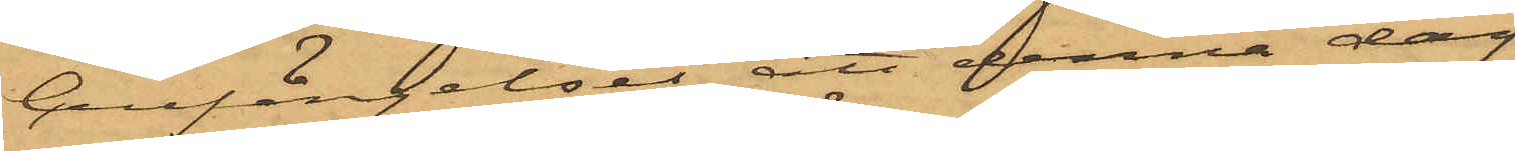Cellfängelset, att denna dag
